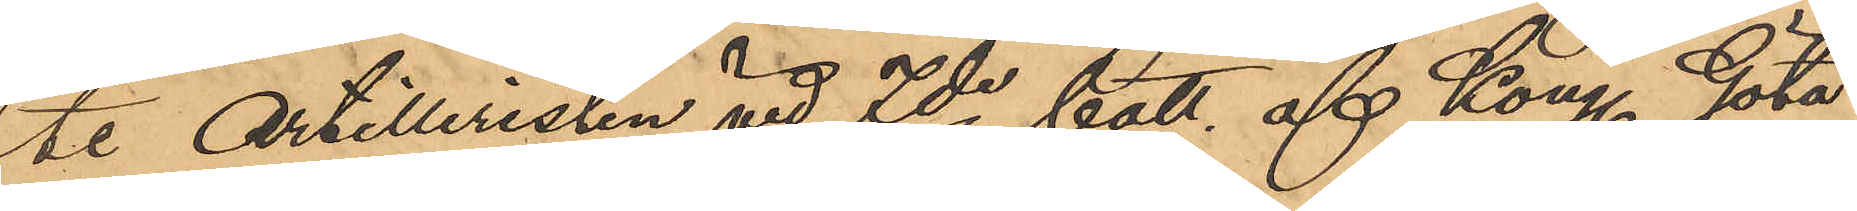te Artilleristen vid 7de batt af Kong Göta
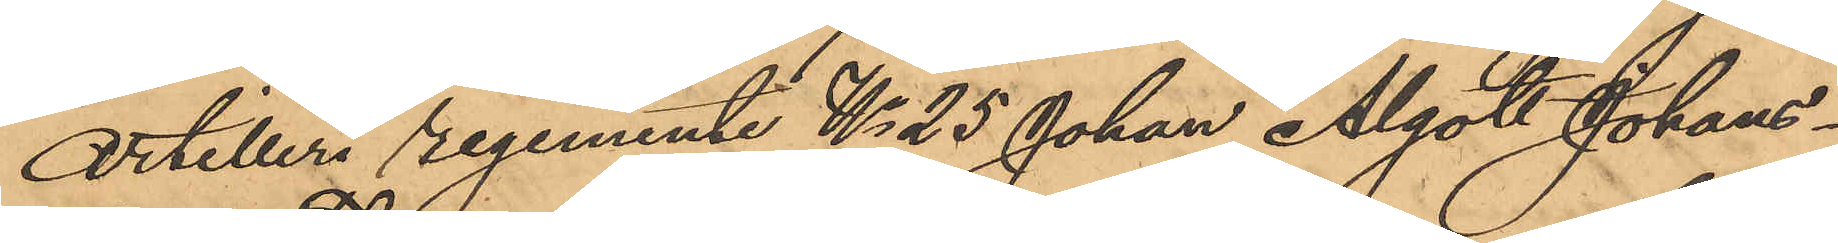Artilleri regemente No 25 Johan Algot Johans¬
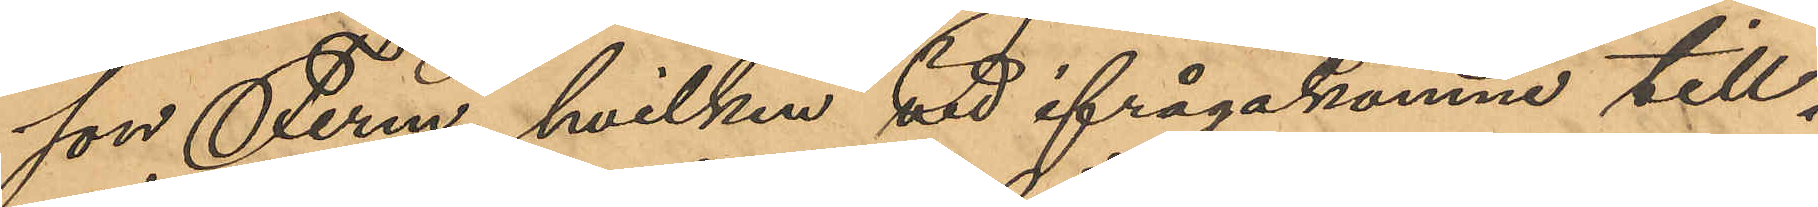son Ferm, hvilken vid ifrågakomne till¬
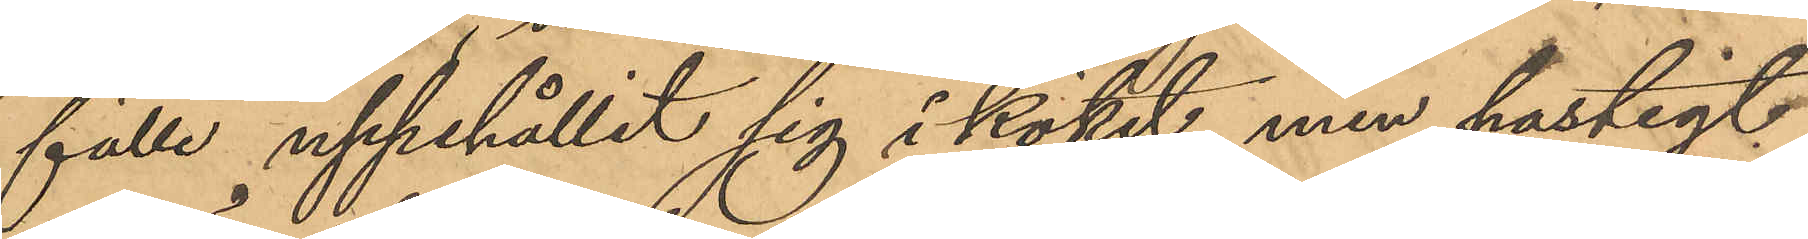fälle uppehållit sig i köket, men hastigt
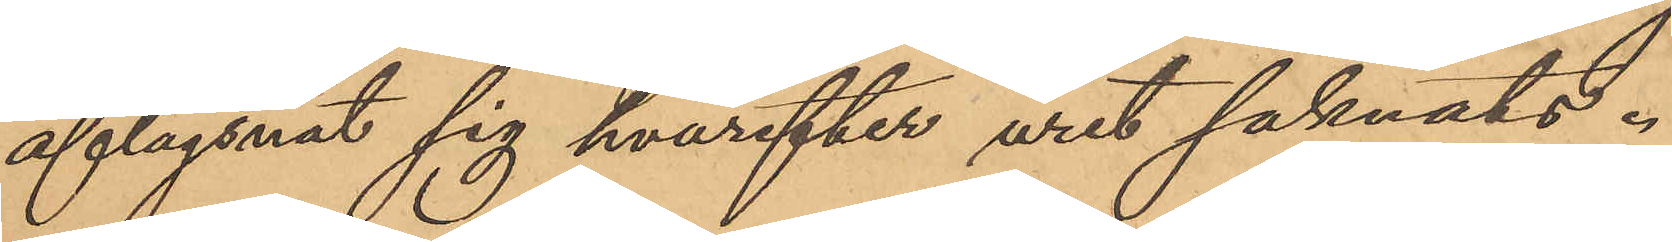aflägsnat sig hvarefter uret saknats.
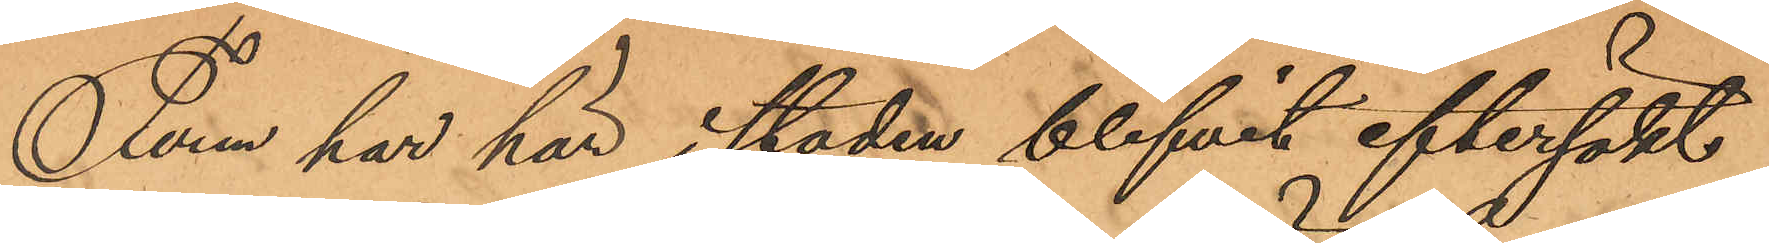Ferm har här i staden blifvit eftersökt
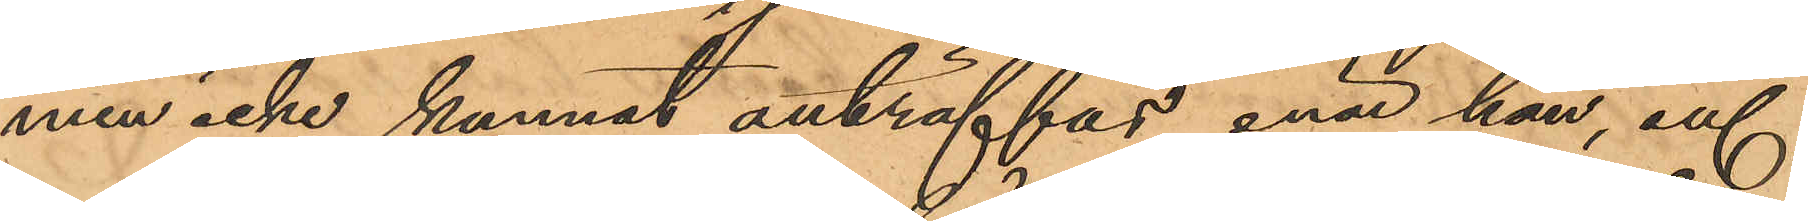men icke kunnat anträffas, enär han, af
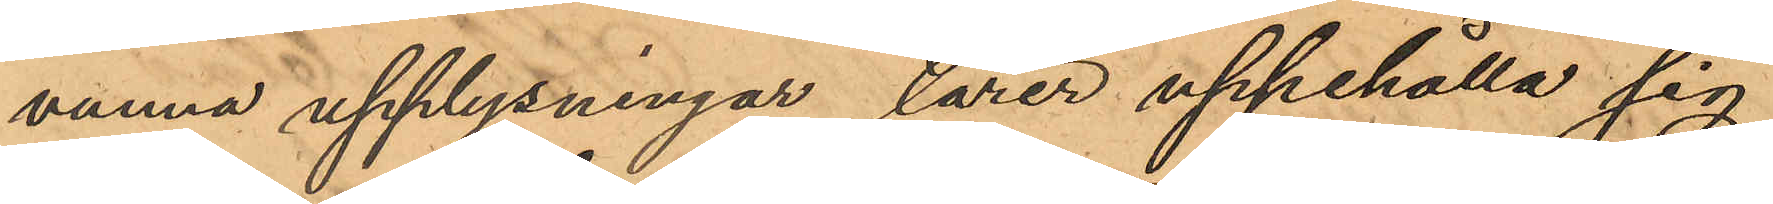vunna upplysningar lärer uppehålla sig
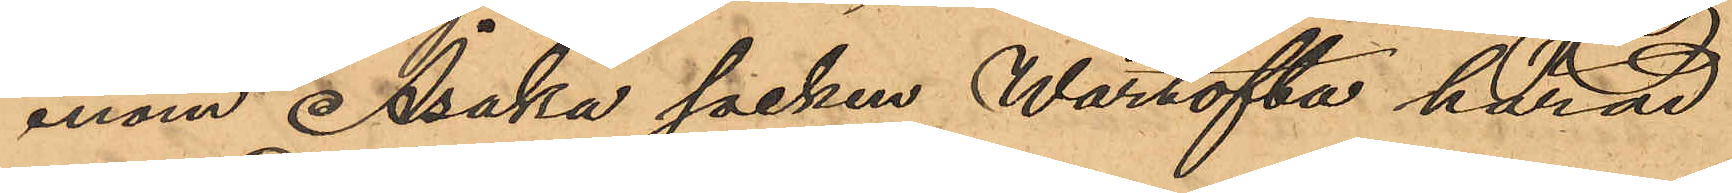inom Åsaka socken Wartofta härad
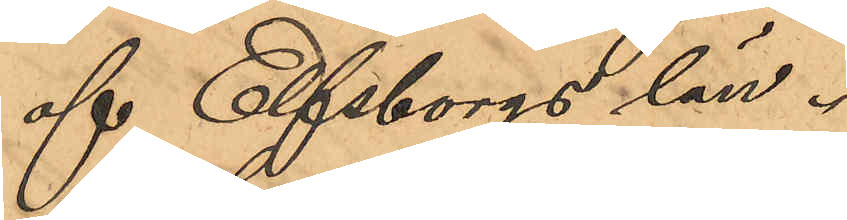af Elfsborgs län.
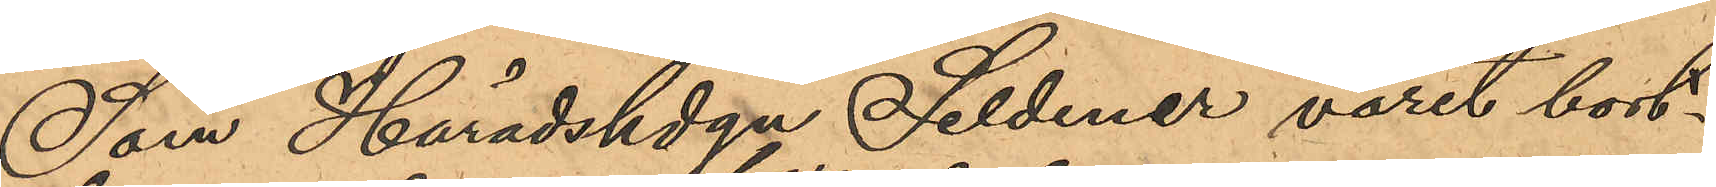Som Häradshdgn Seldener varit bort¬
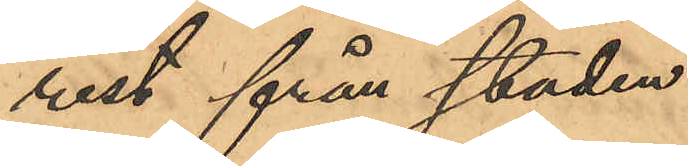rest från staden
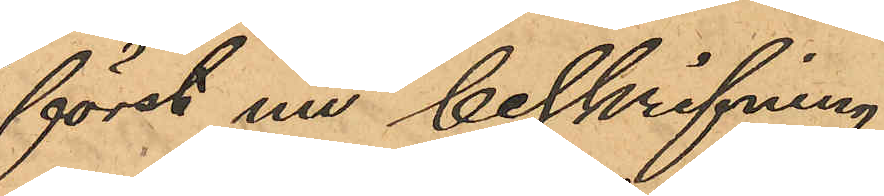först nu beskrifning
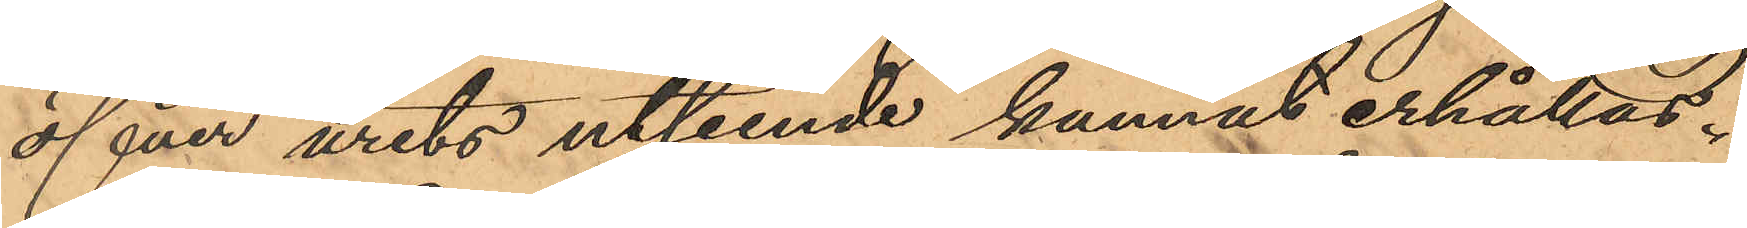öfver urets utseende kunnat erhållas.
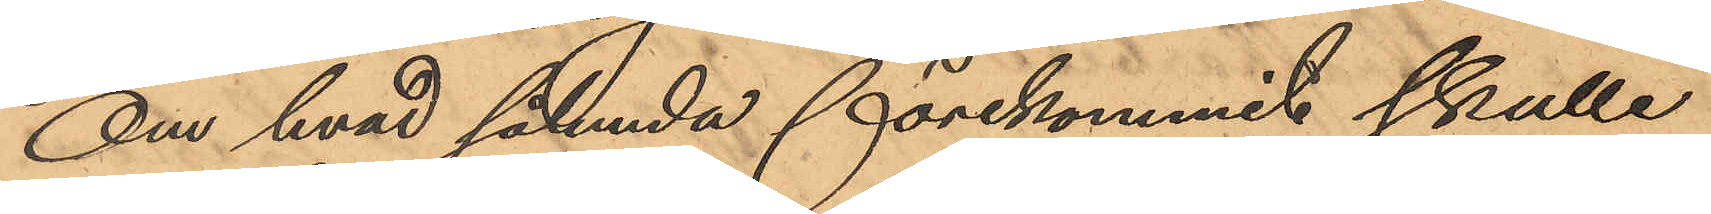Om hvad sålunda förekommit skulle
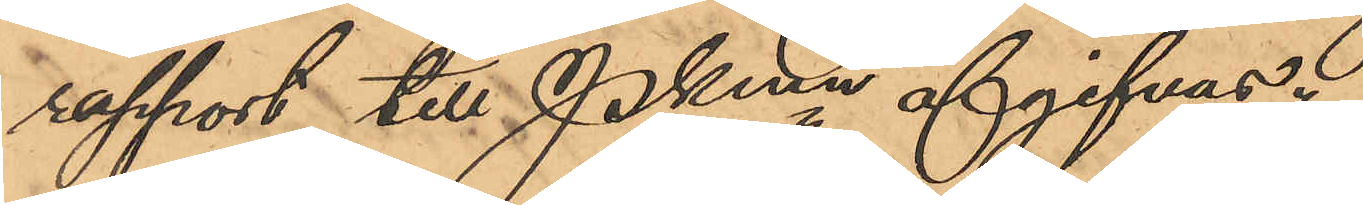rapport till Pkmn afgifvas.
